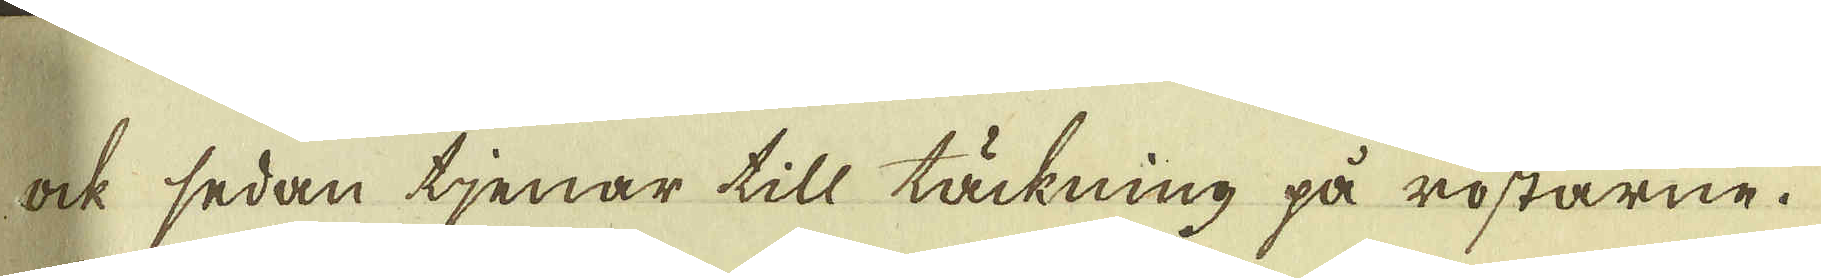ock sedan tjenar till täckning på rostarne.
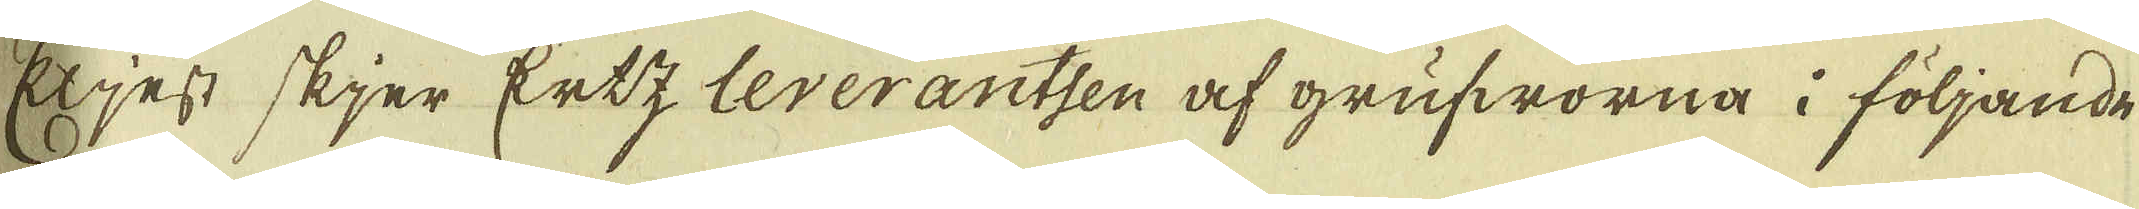Eljest skjer Ertz leverantsen af grufworna i följande
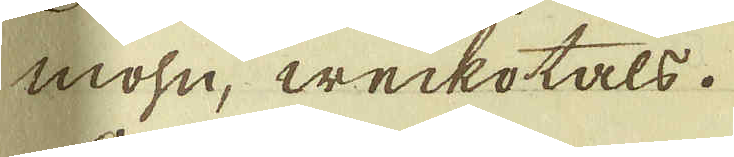mohn, weckotals.
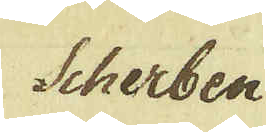Scherben
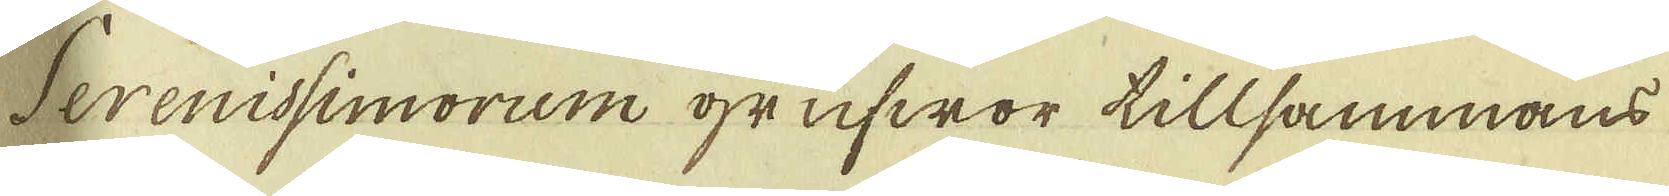Serenissimorum grufwor tillsammans
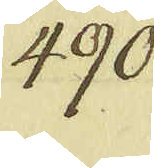490
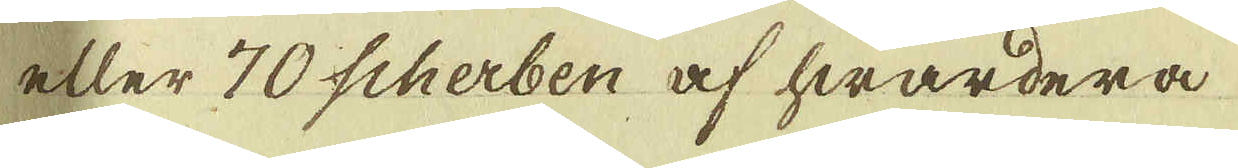eller 70 scherben af hwardera
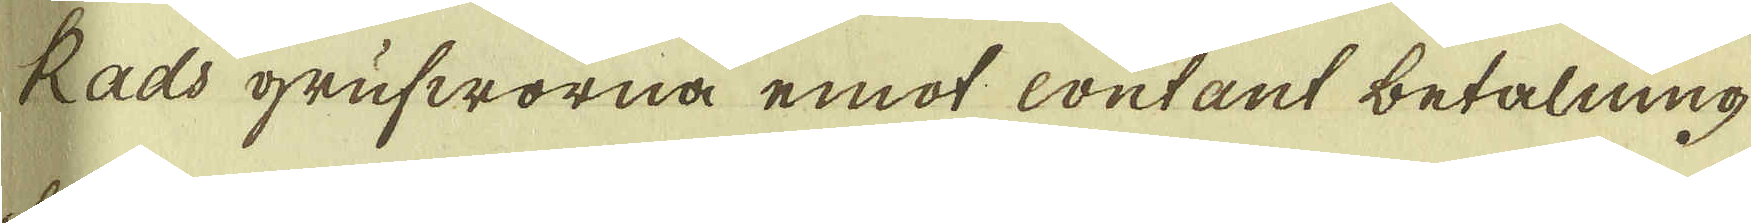Kads grufworna emot contant betalning
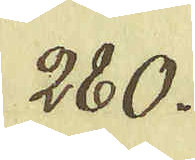280.
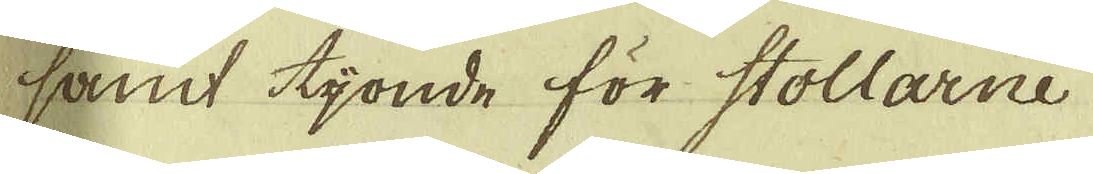samt tijonde för Stollarne
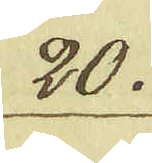20.
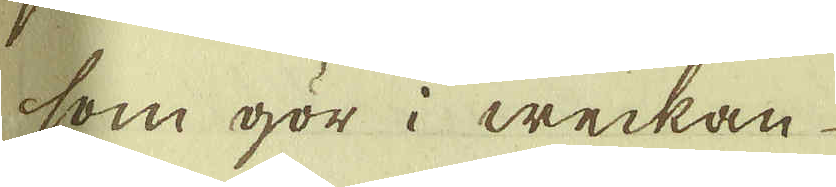som gör i weckan
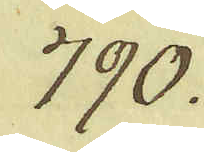790.
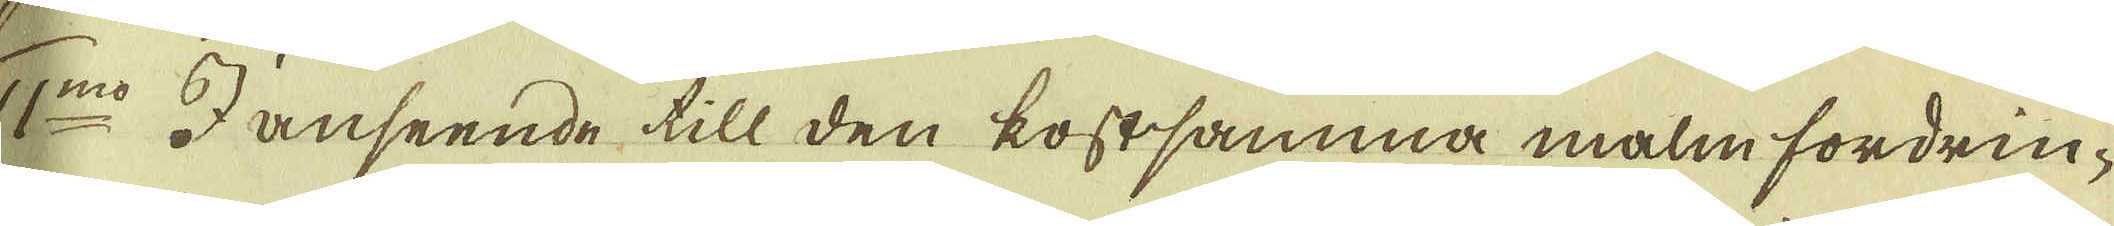11:mo I anseende till den kostsamma malm fordrin-
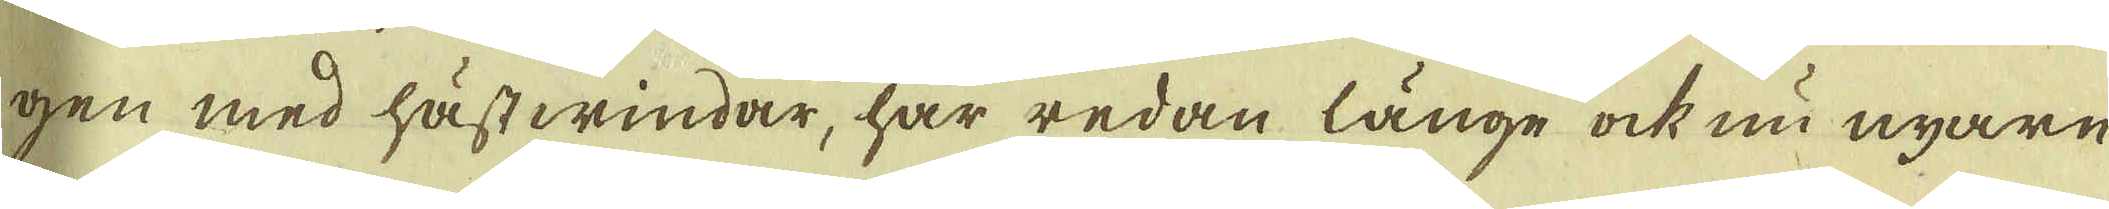gen med hästwindar, har redan länge ock nu nyare
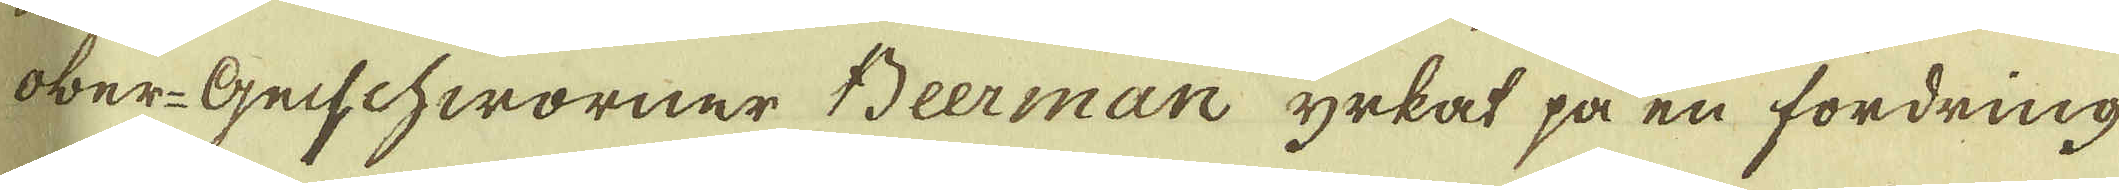ober-Geschworner Beerman yrkat på en fordring
